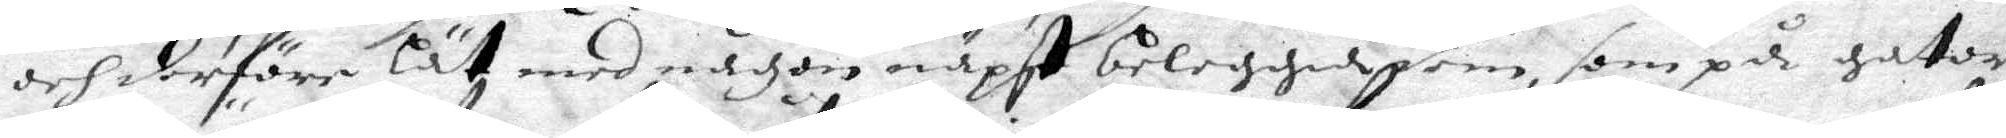och derföre lät med någon näpst beleggia dem, som på gator
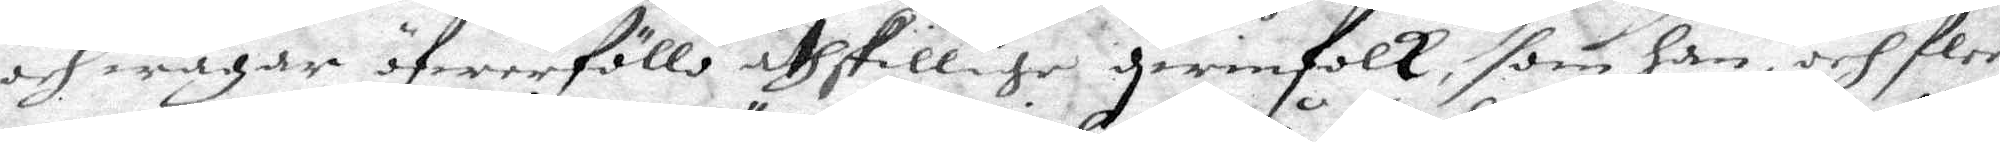och wägar öfwerföllo åthskillige qwinfolk, som han, och fler¬
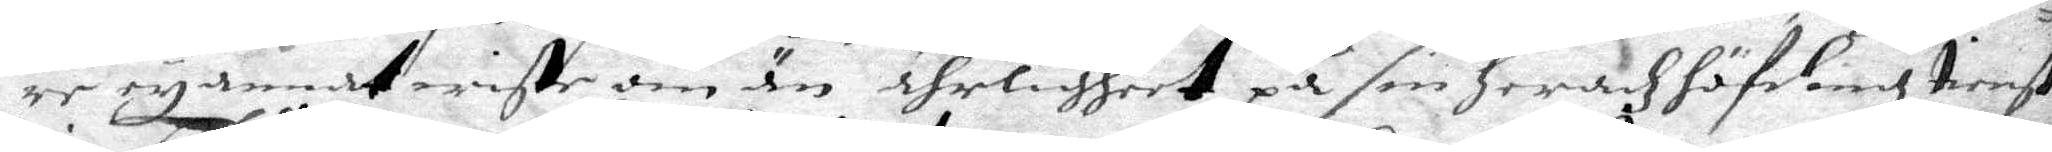re ey annat wiste om än ährligheet på sin heradz höfding tienst
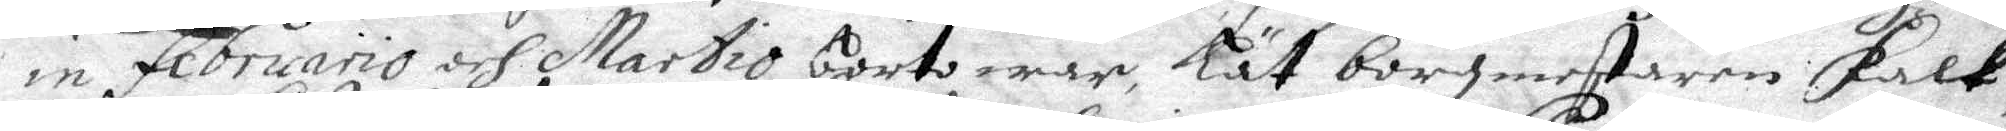in februario och Martio borto war, Lät borgmestaren Falk
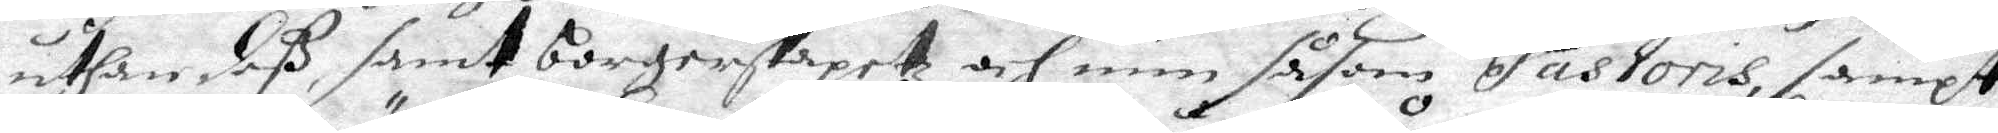uthan deß, samt borgerskapetz och min såsom Pastoris, sampt
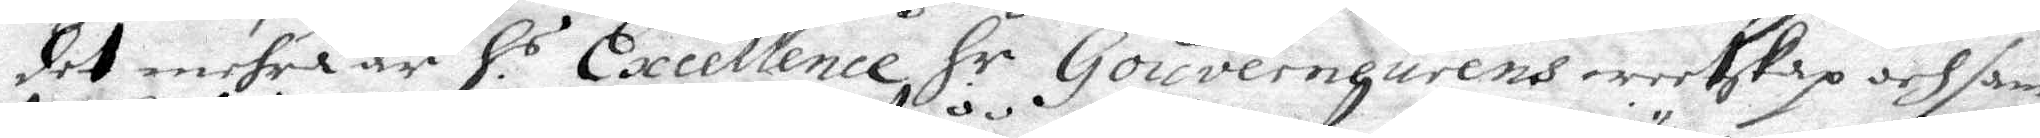det mehra är H.s Excellence H.r Gouverneurens weetskap och sam¬
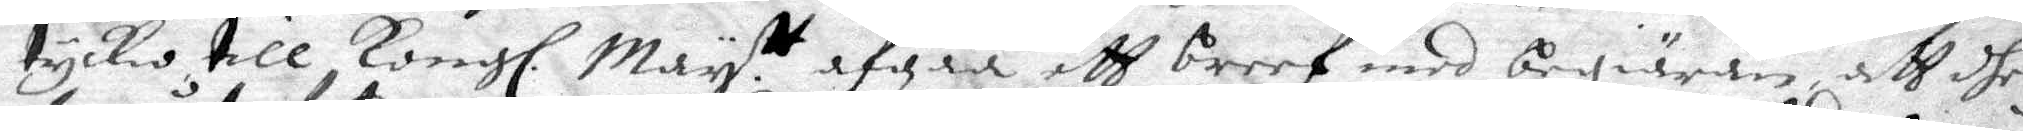tyckio till Kongl. May:tt afgåå ett breef mdd begiäran att dhe
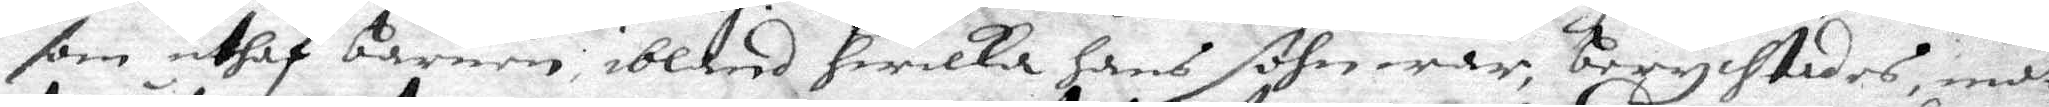som uthaf barnen; ibland hwilka hans sohn war, berychtades, måt¬
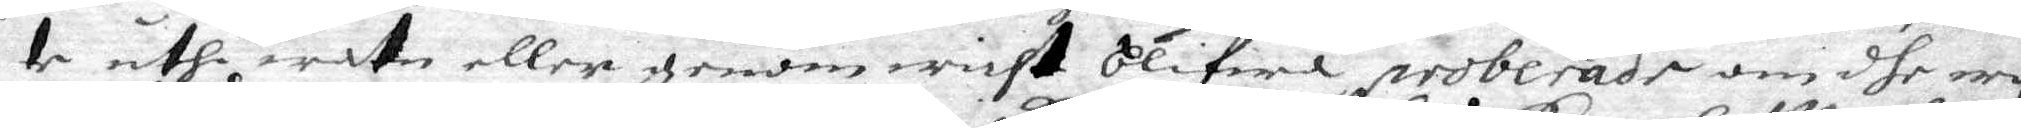te uthi watn eller genom wicht blifwa proberade om dhe wo¬
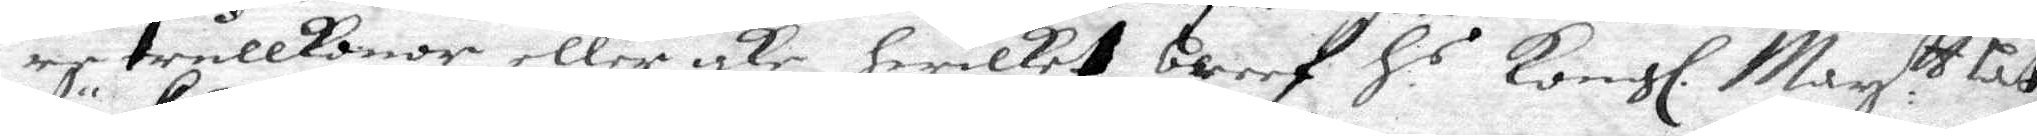re trollkonor eller icke, hwilket breef H.s Kongl. May. ttz Lät
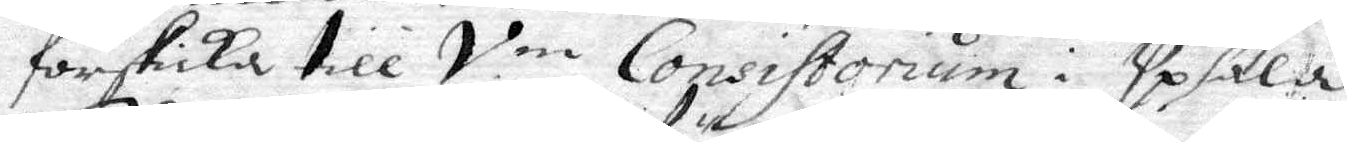förskika till V.m Consistorium i Upsala.
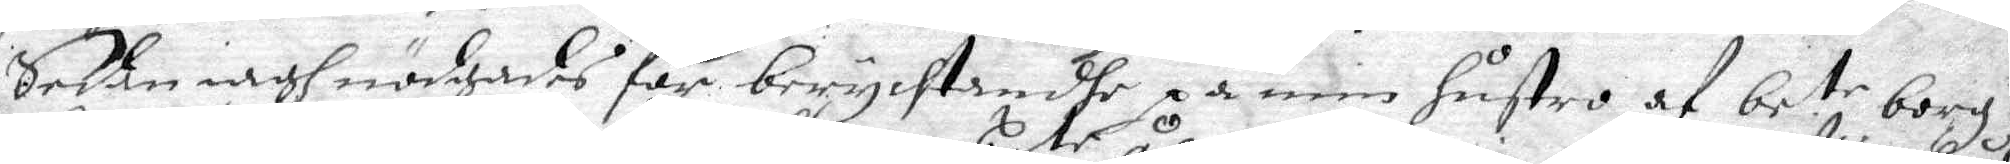2. Sedan iagh nödgades för berychtandhe på min hustro af be.te borg:n
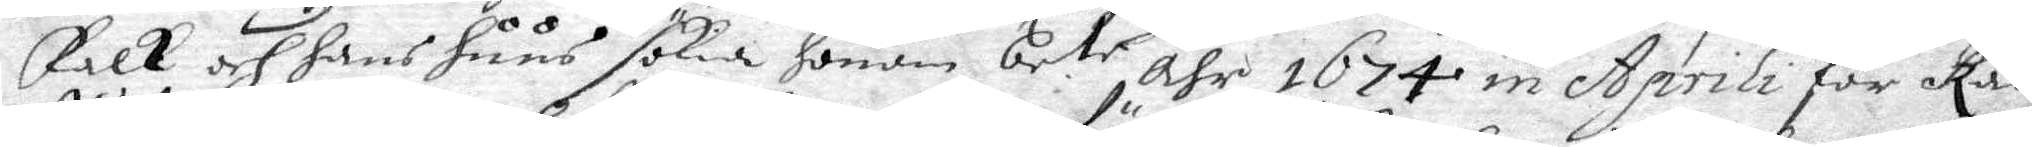Falk och hans huus sökia honom be.te åhr 1674 in Aprili får Råd¬
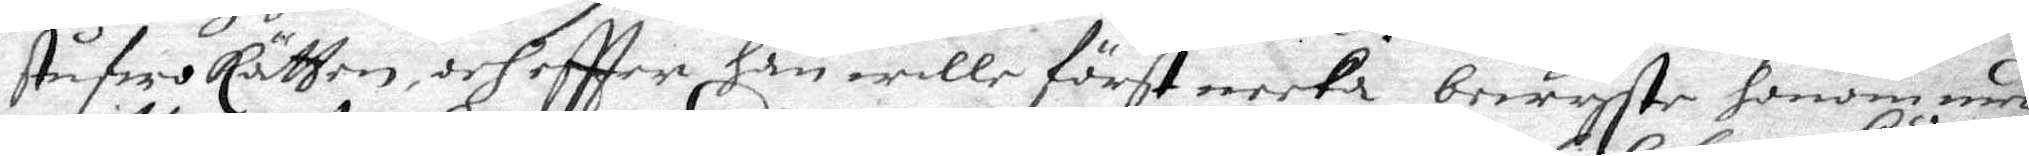stufwo Rätten, och effter han wille först neeka bewyste honom med
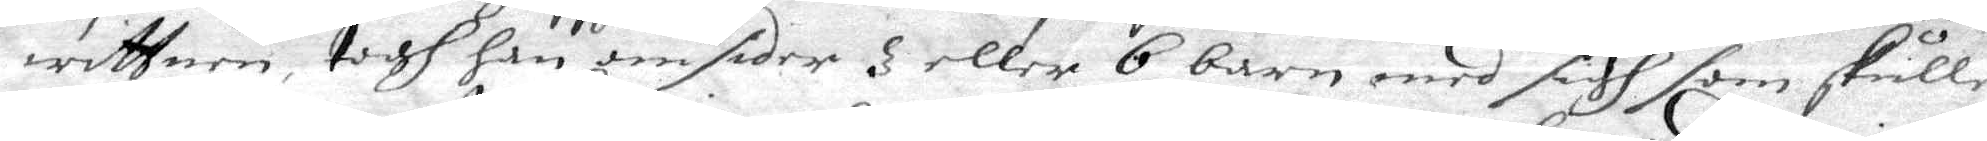wittnen, togh han omsider 3 eller 6 barn med sigh som skulle
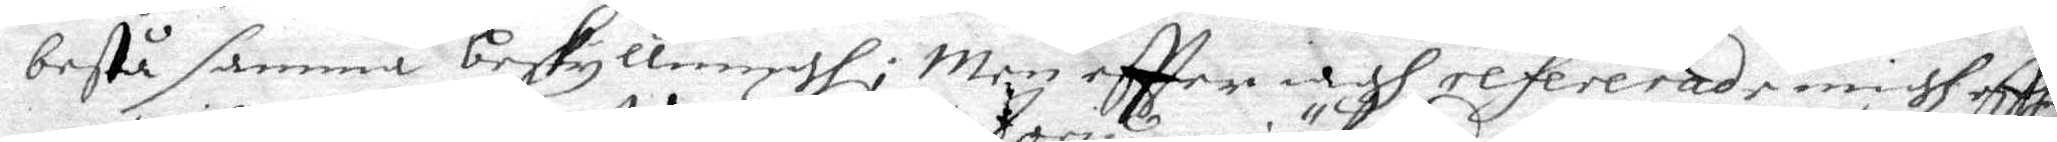bestå samma beskyllningh; Men effter iagh refererade migh aff
